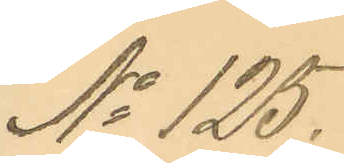No 125.
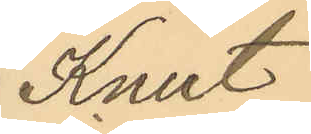Knut
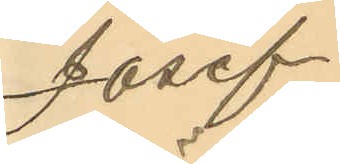Josef
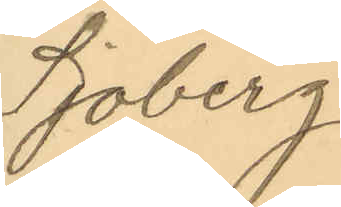Sjöberg
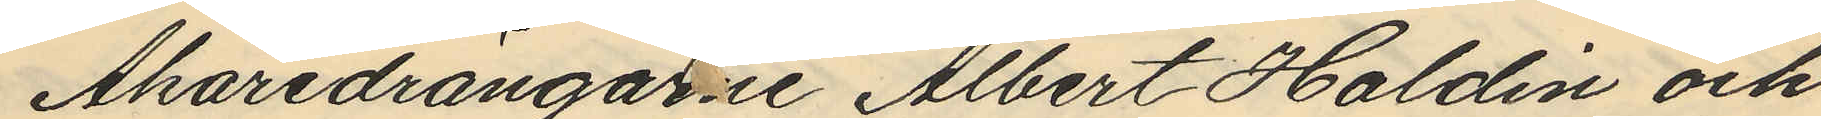Åkaredrängarne Albert Haldin och
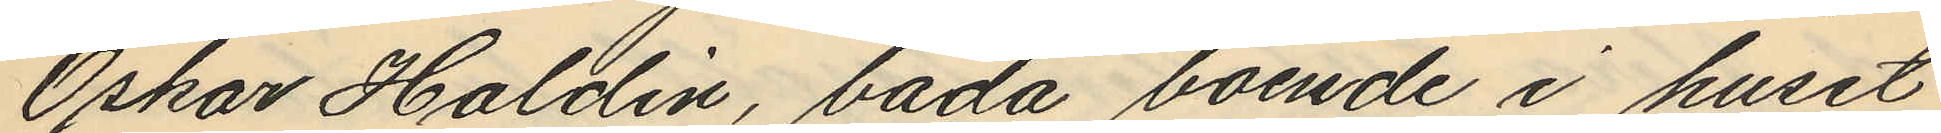Oskar Haldin, båda boende i huset
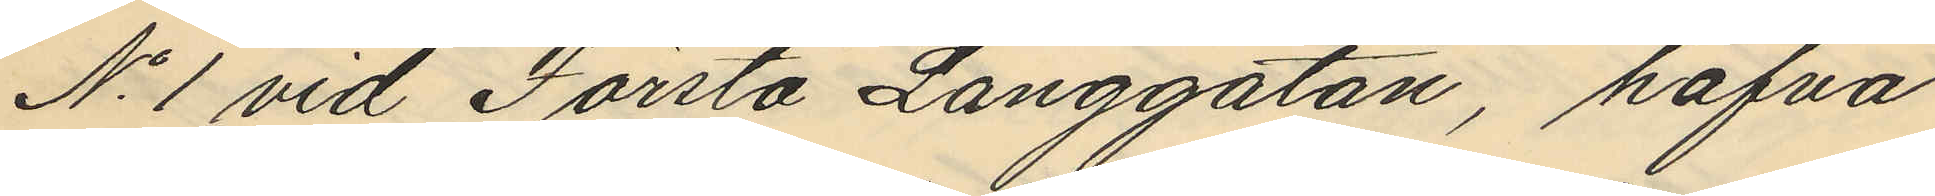No 1 vid Första Långgatan, hafva
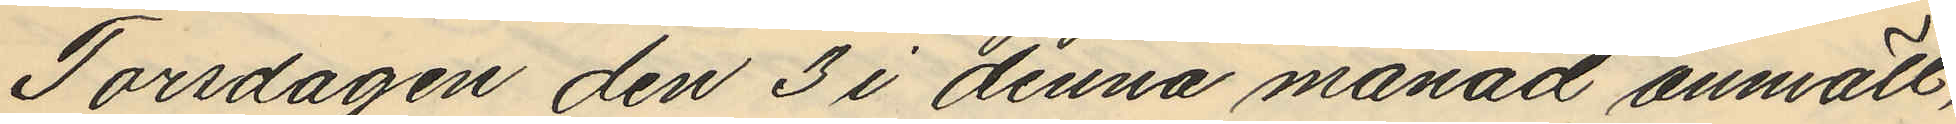Torsdagen den 3 i denna månad anmält,
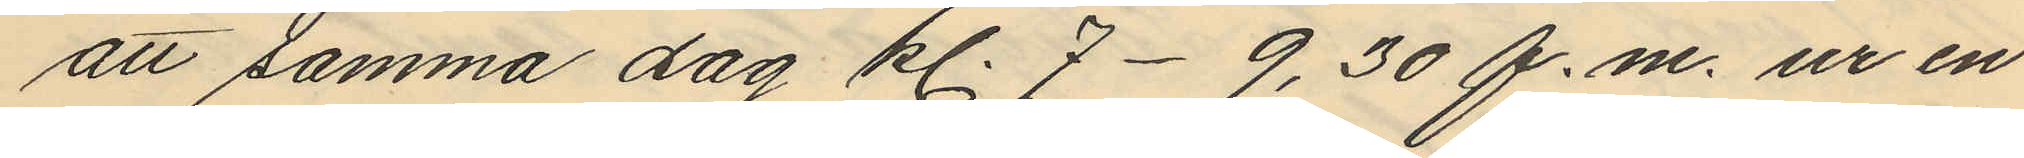att samma dag kl. 7-9,30 f.m. ur en
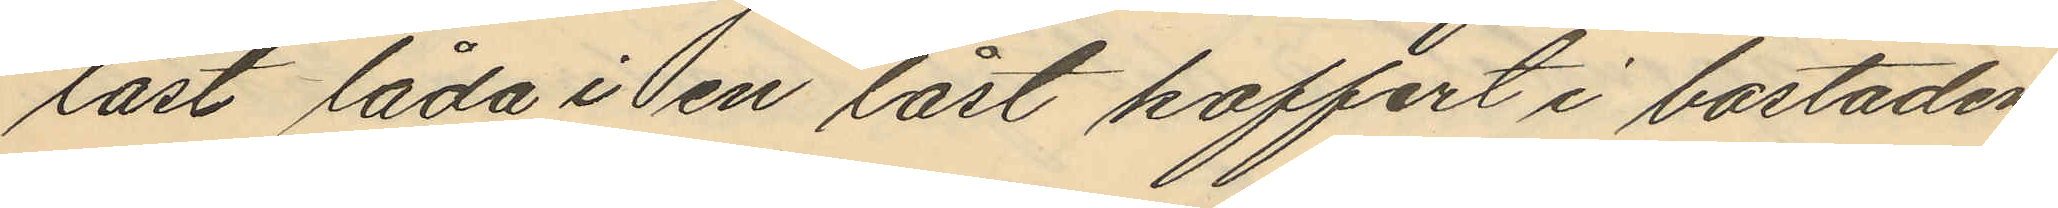låst låda i en låst koffert i bostaden
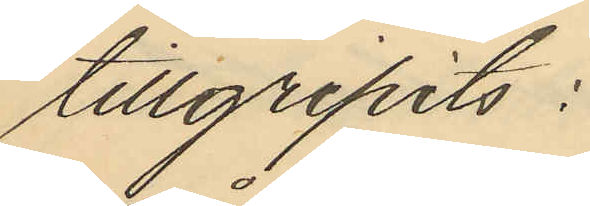tillgripits:
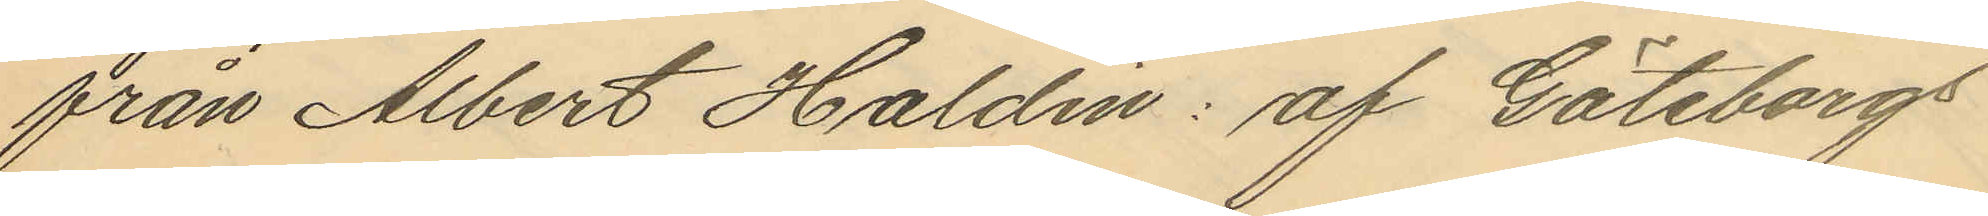från Albert Haldin: af Göteborgs
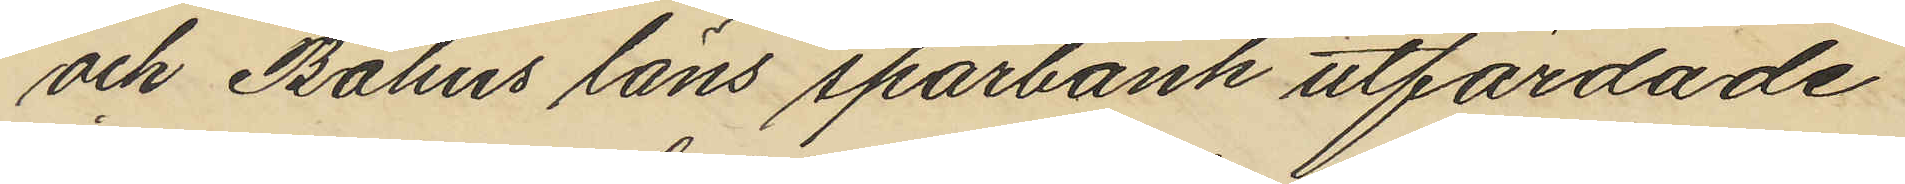och Bohus läns sparbank utfärdade
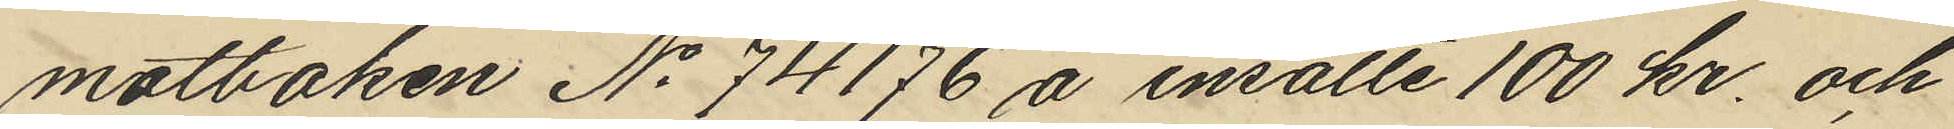motboken No 74176 å insatte 100 kr. och
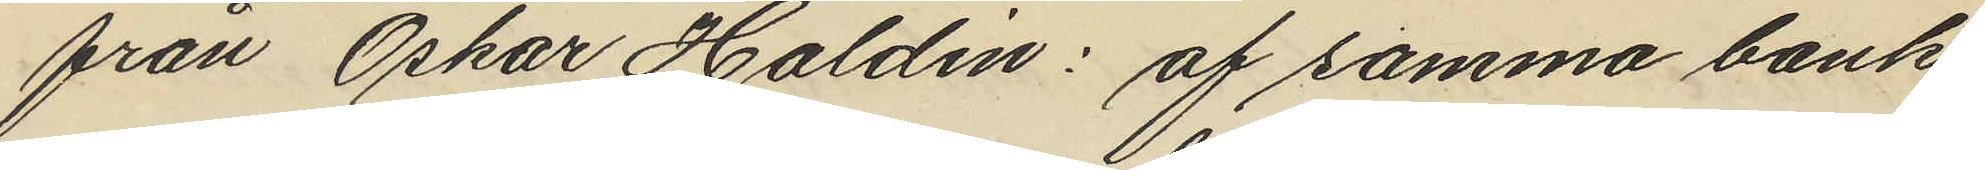från Oskar Haldin: af samma bank
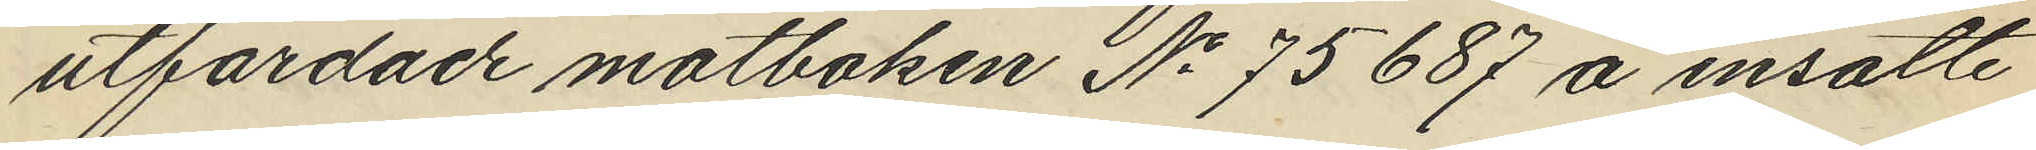utfärdade motboken No 75687 å insatte
